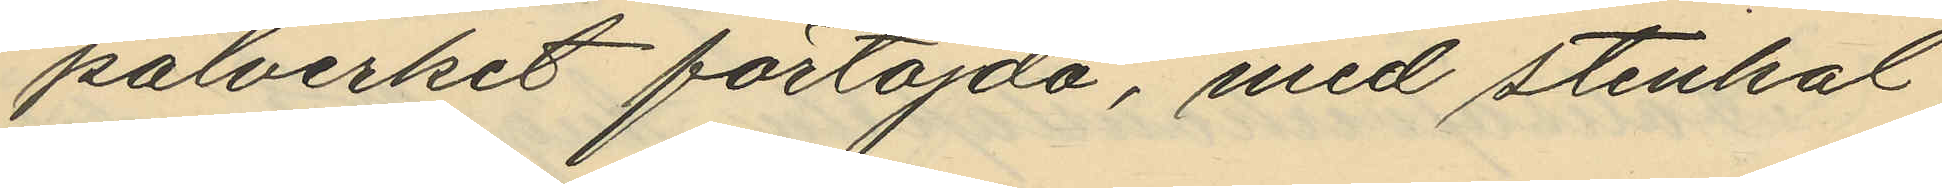pålverket förtöjda, med stenkol
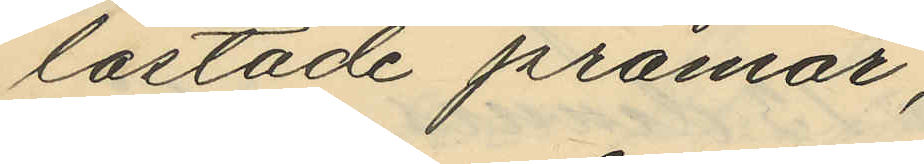lastade pråmar,
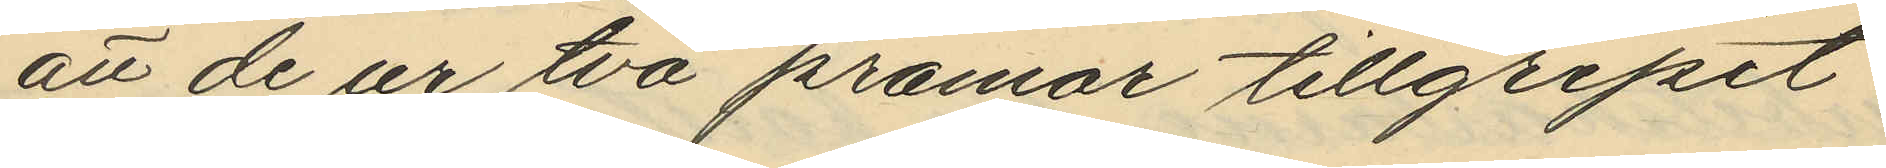att de ur två pråmar tillgripit
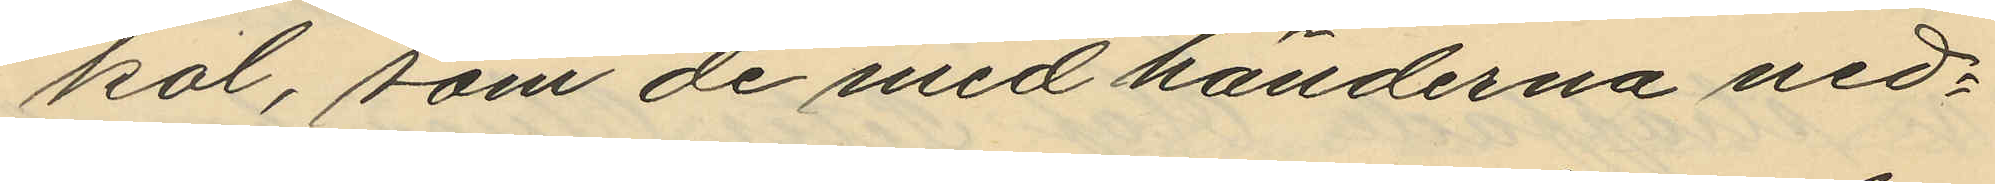kol, som de med händerna ned¬
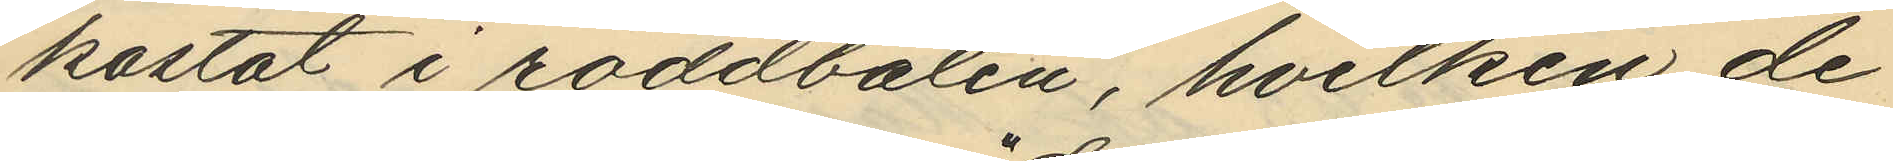kastat i roddbåten, hvilken de
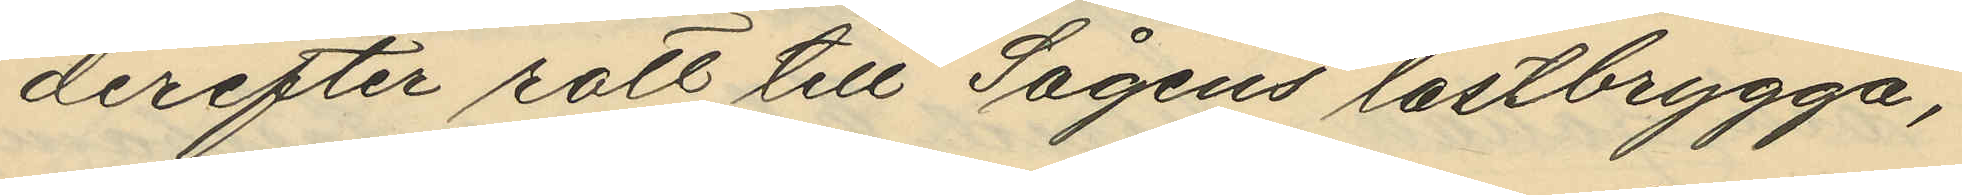derefter rott till Sågens lastbrygga,
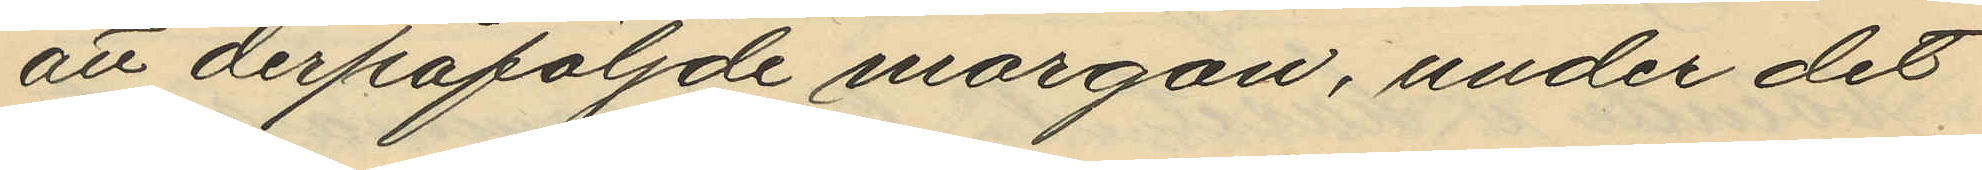att derpåföljande morgon, under det
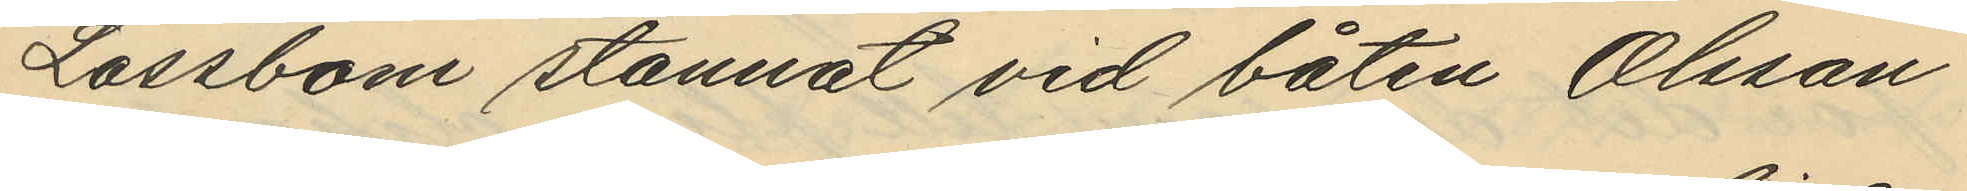Låssbom stannat vid båten Olsson
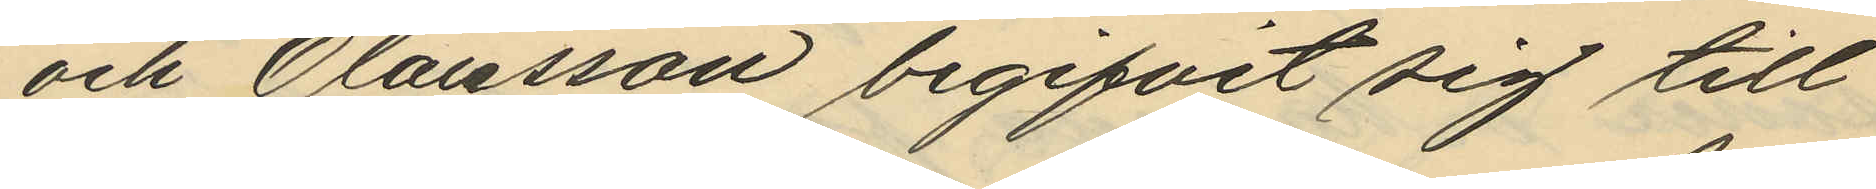och Olausson begifvit sig till
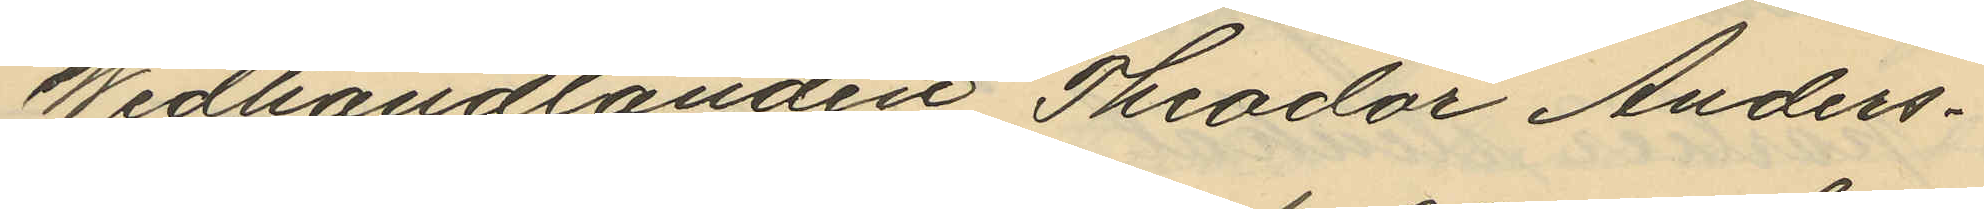Wedhandlanden Theodor Anders¬
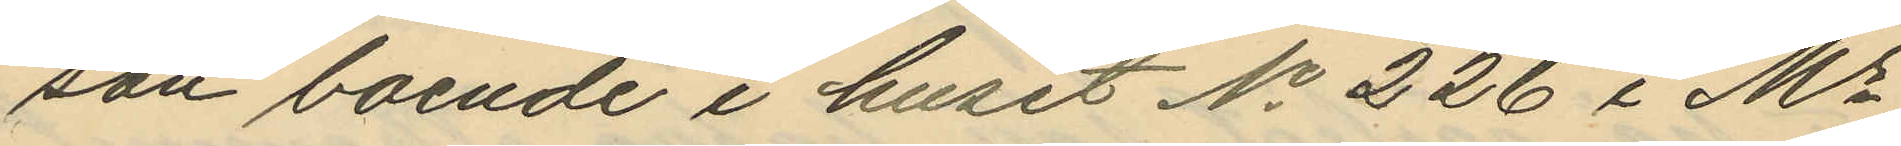son boende i huset No 226 i Ms
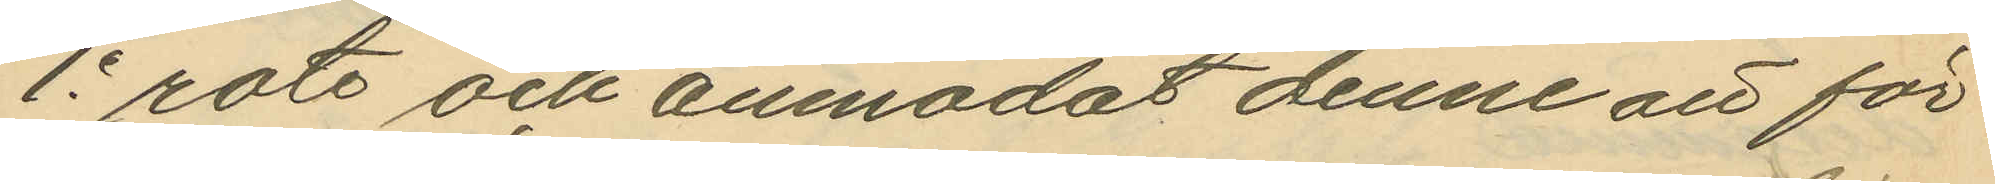1e rote och anmodat denne att för
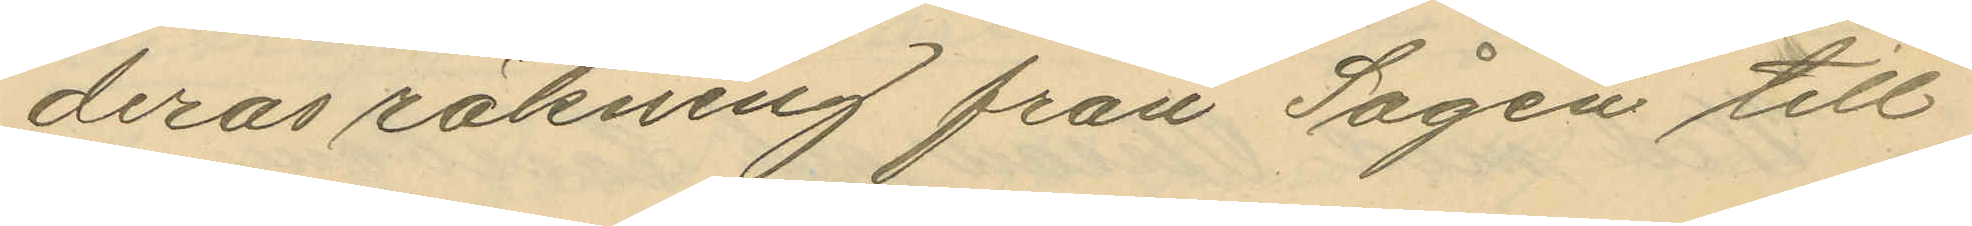deras räkning från Sågen till
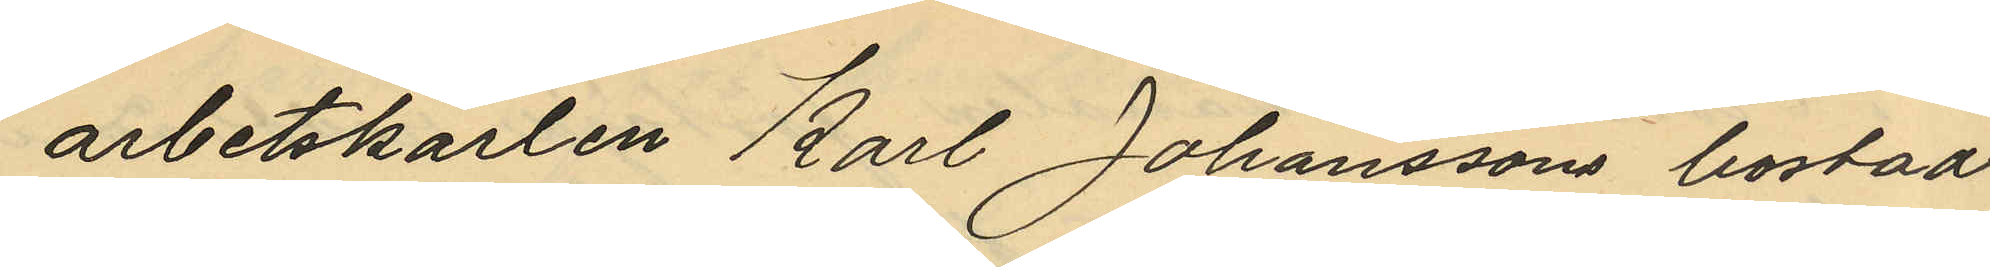arbetskarlen Karl Johanssons bostad
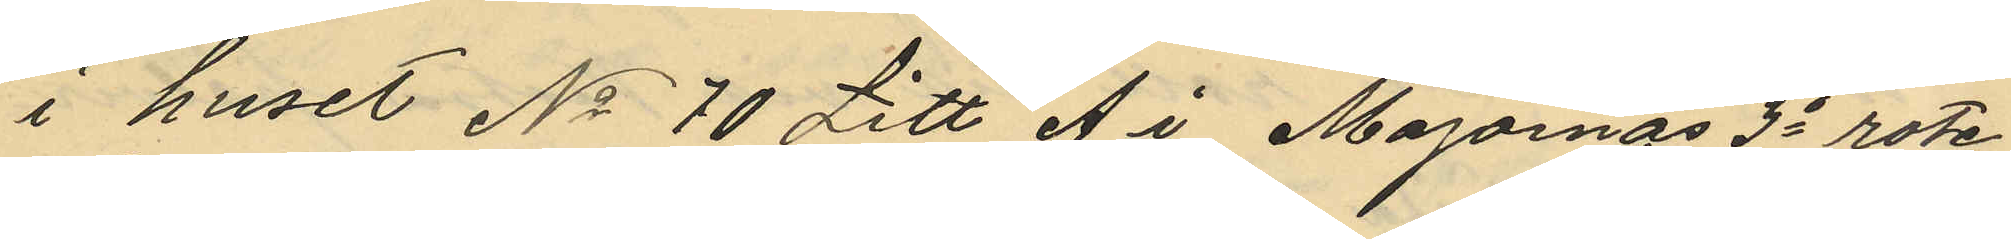i huset No 70 Litt A i Majornas 3e rote
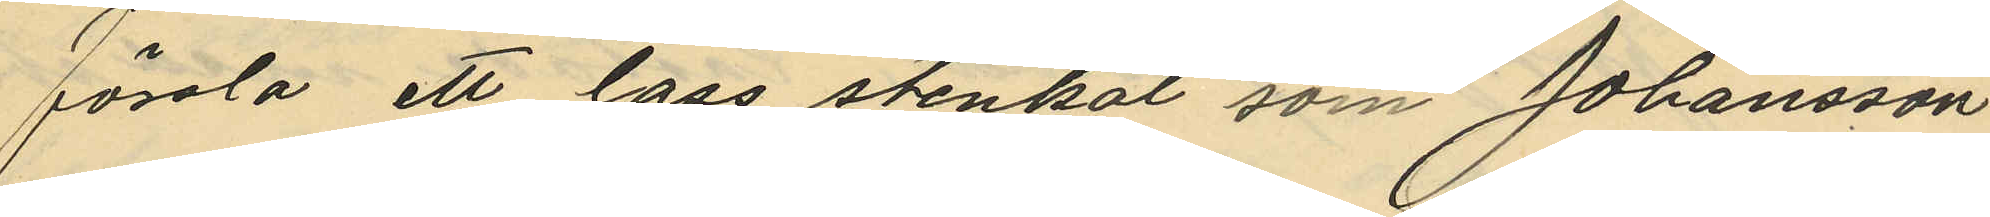forsla ett lass stenkol som Johansson
